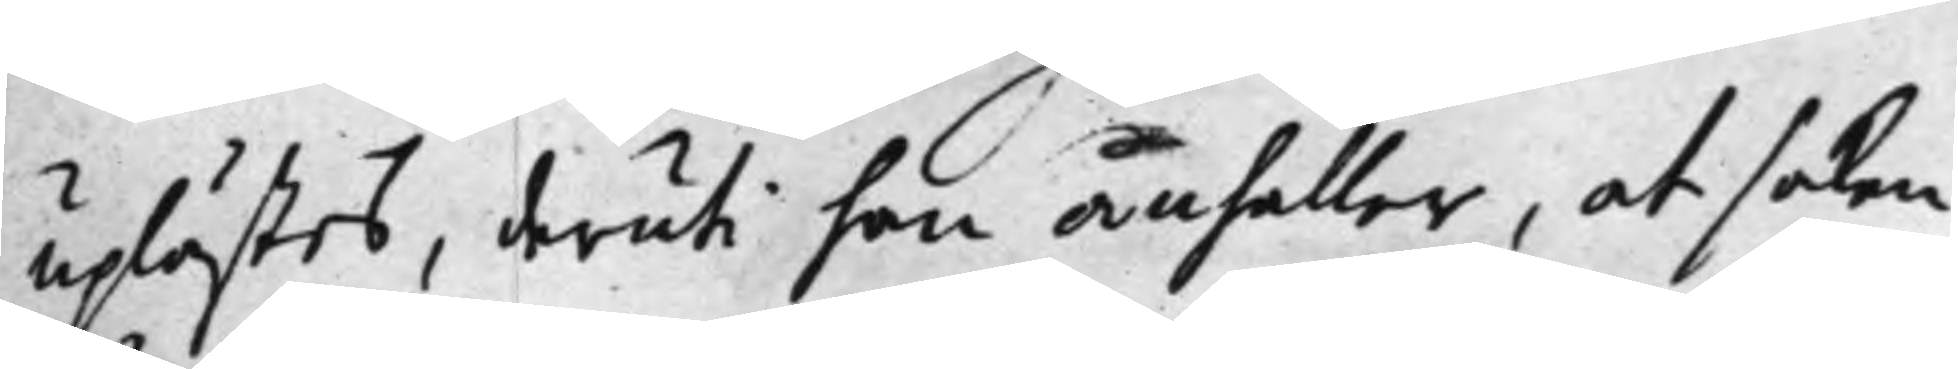uplästes, deruti han anhåller, at saken
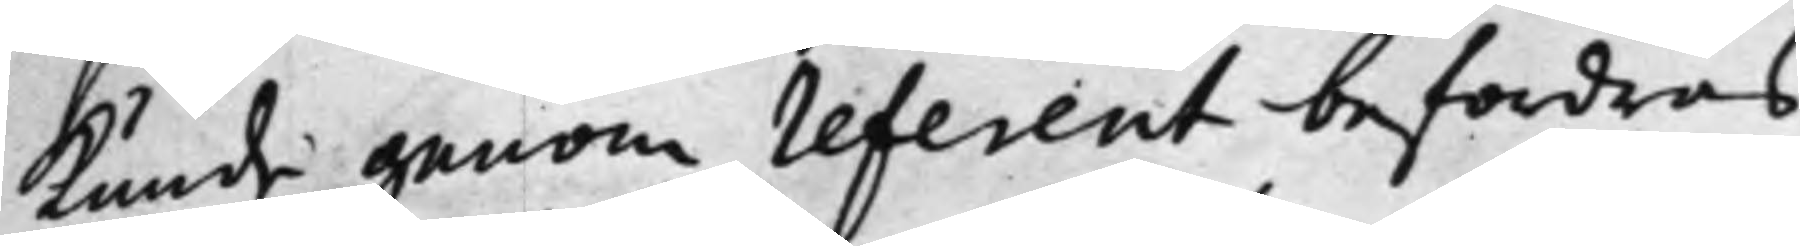Kunde genom referent befordras
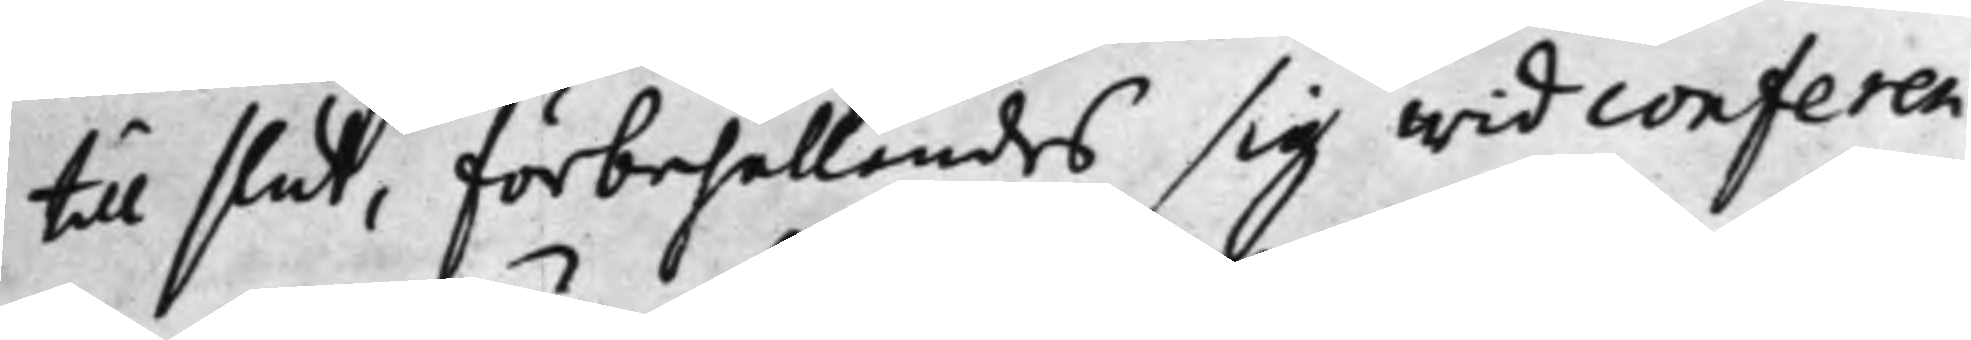til slut, förbehållandes sig wid conferen¬
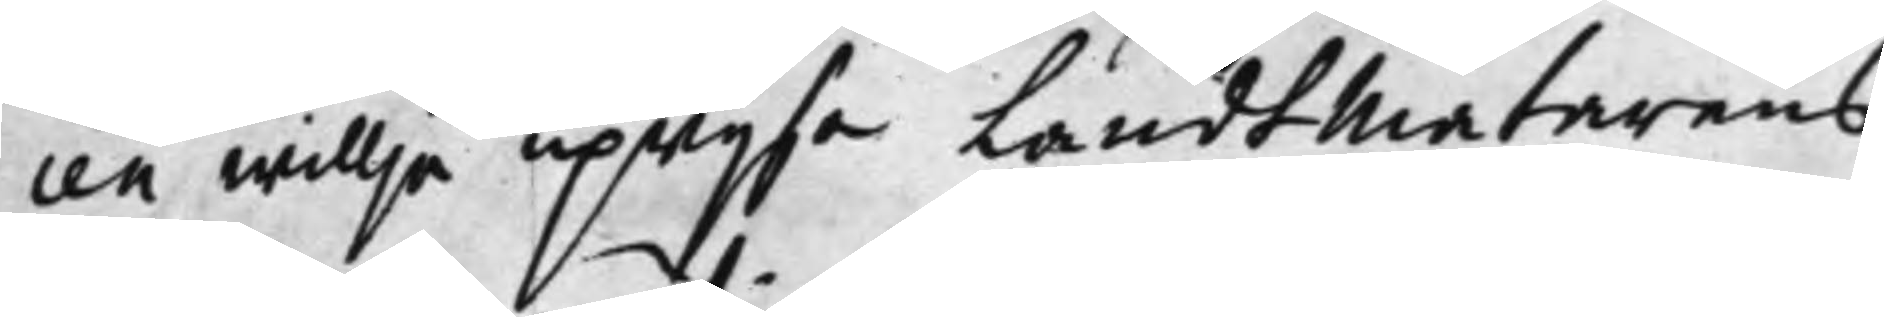cen willja upwijsa Landtmätarens
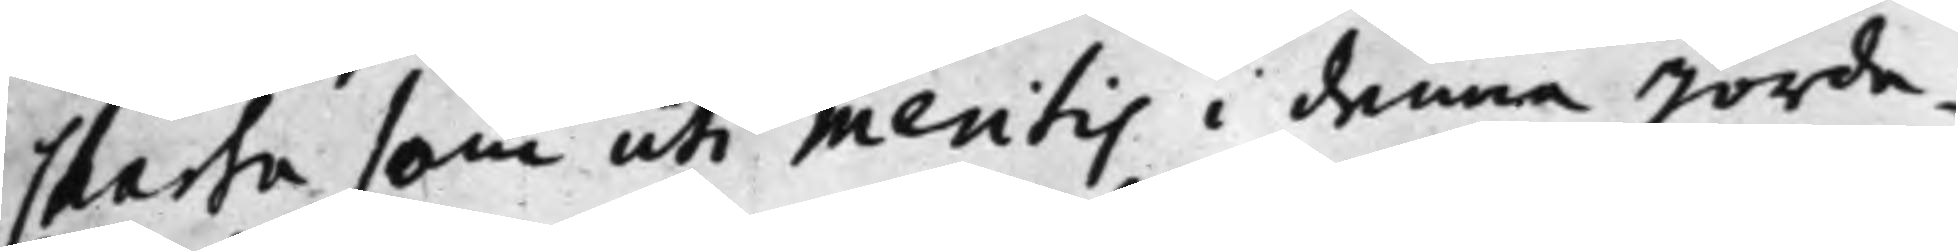Charta som uti meritis i denna Jorde¬
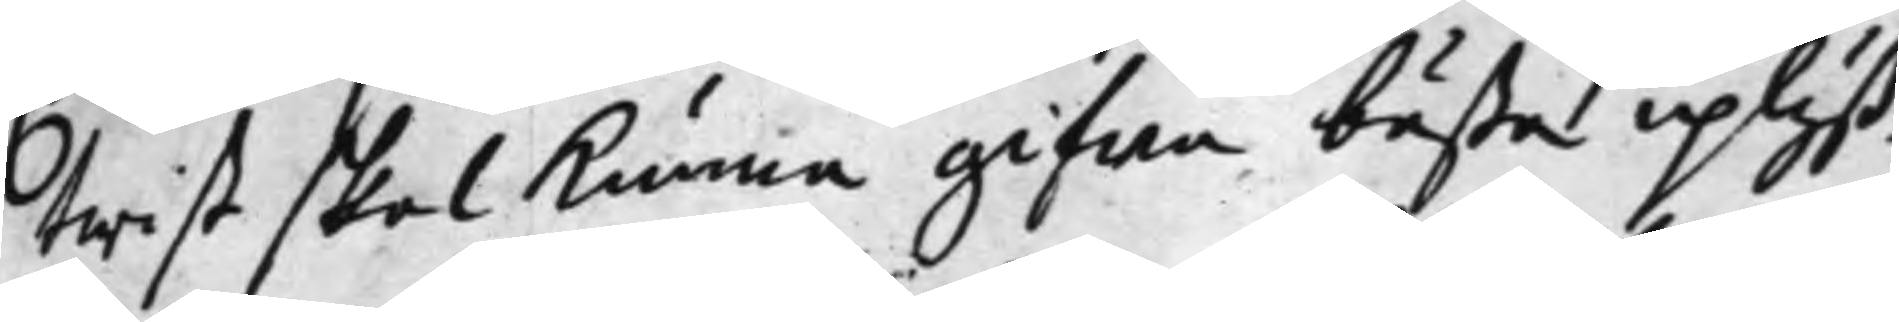twist skal kunna gifwa bästa uplyß¬
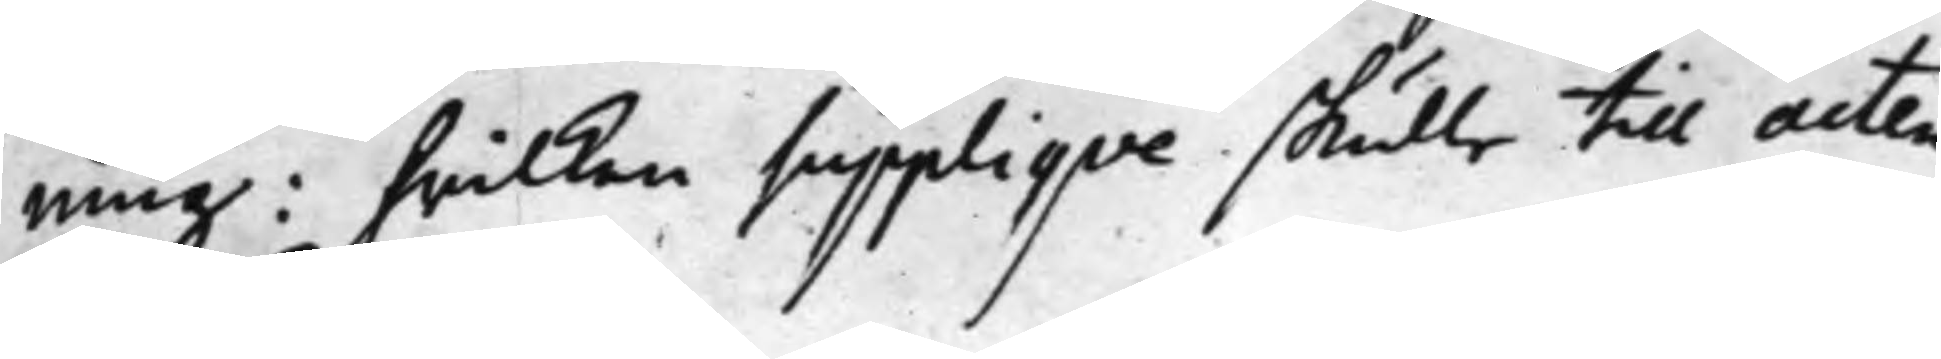ning: hwilken Suppliqve skulle till acten 
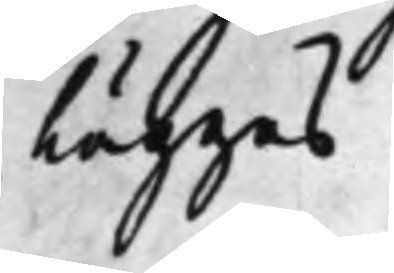Läggas.
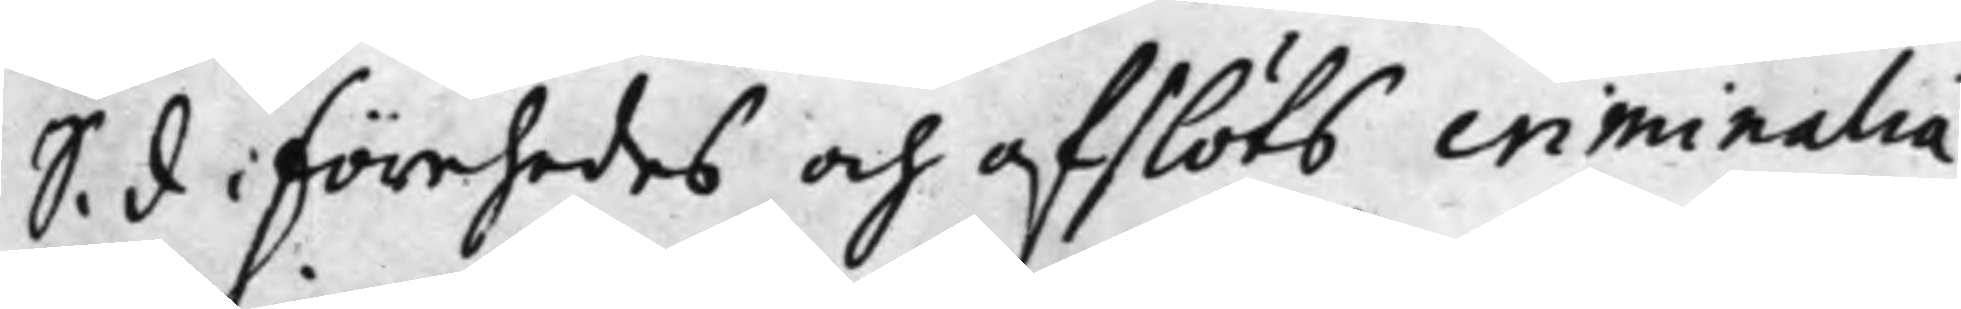S. d Förehades och afslöts criminalia 
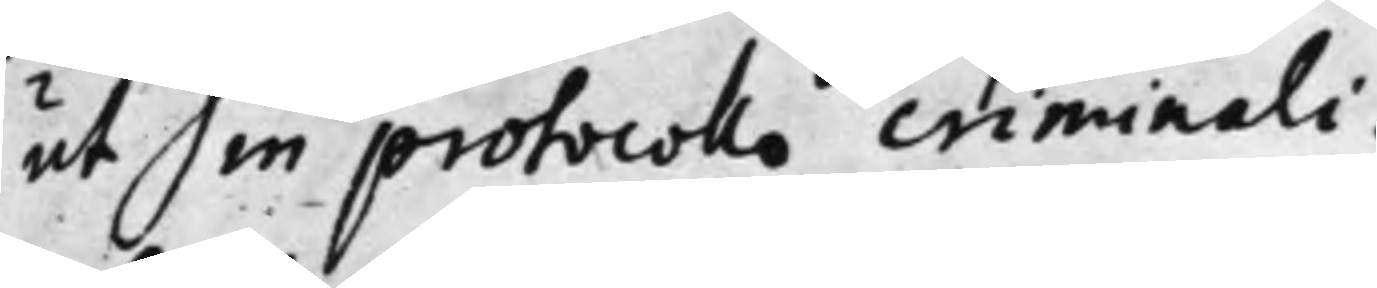ut in protocollo criminali.
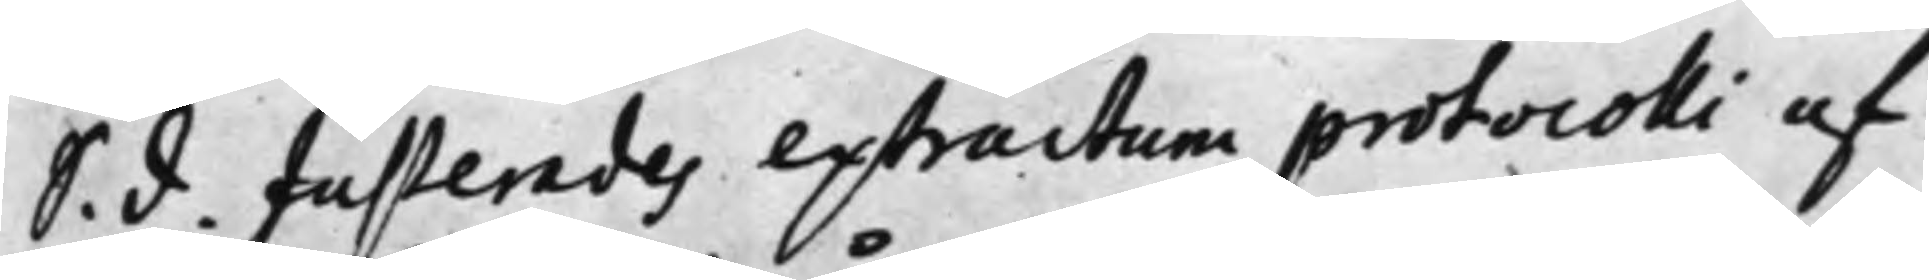S. d. Justerades extractum protocolli af 
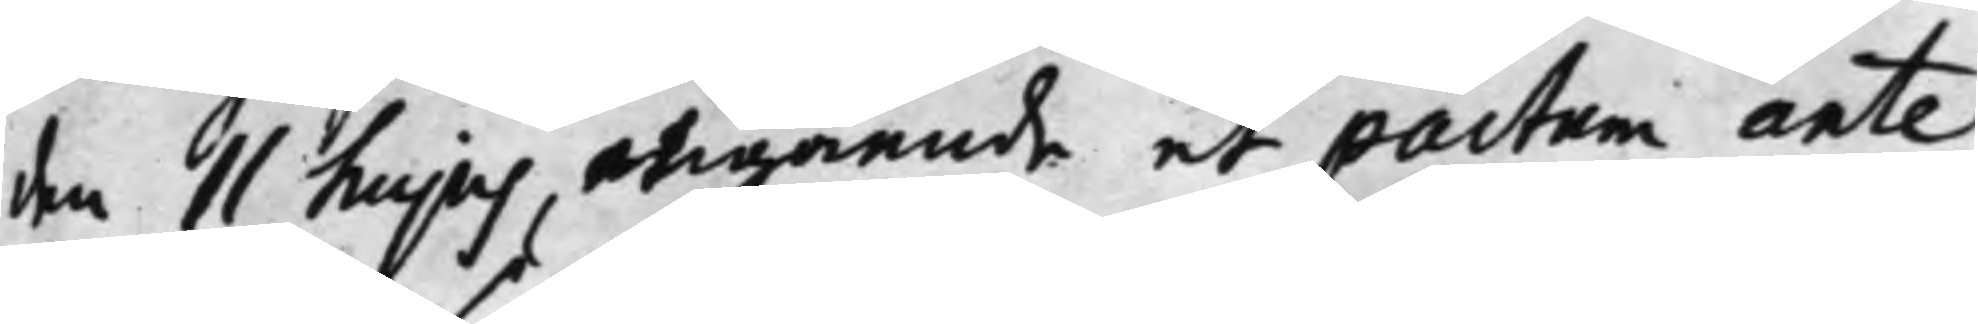den 11 hujus, angående et pactum ante¬
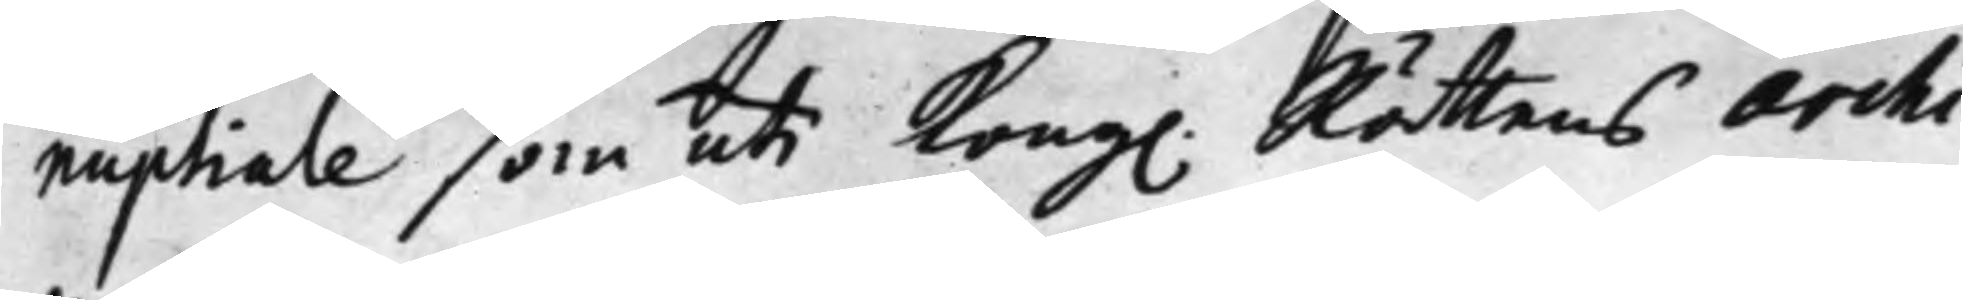nuptiale som uti Kong. Rättens Archi¬
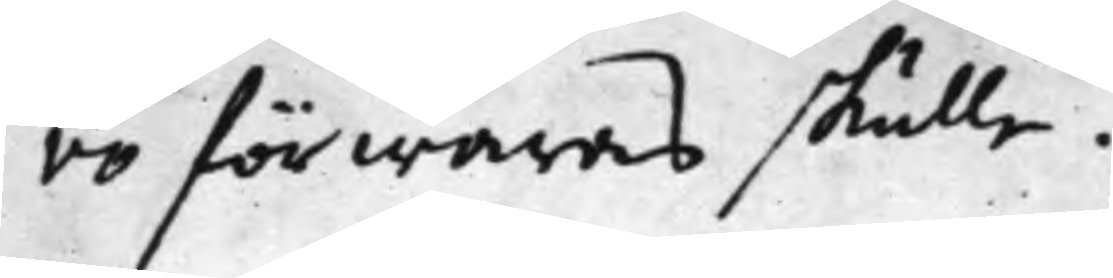vo förwaras skulle.
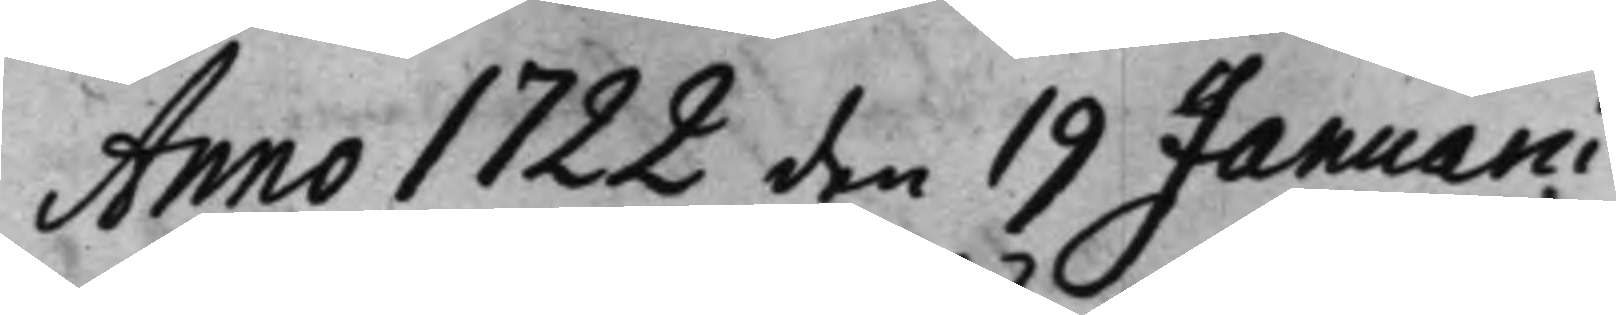Anno 1722 den 19 Januarii
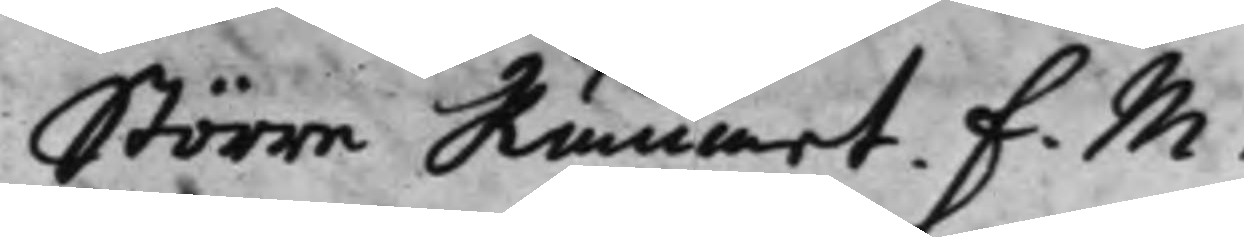Större Rummet. F. M.
